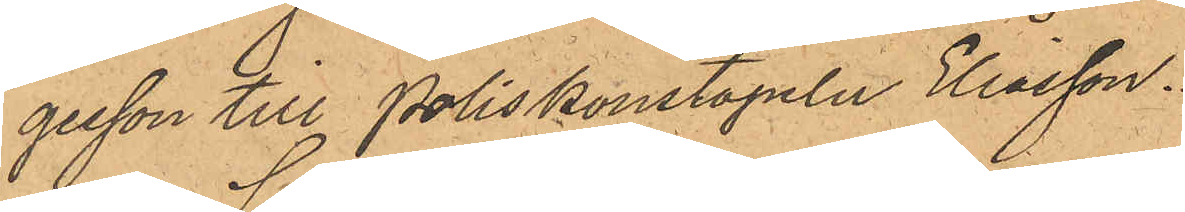gesson till Poliskonstapeln Eliasson.
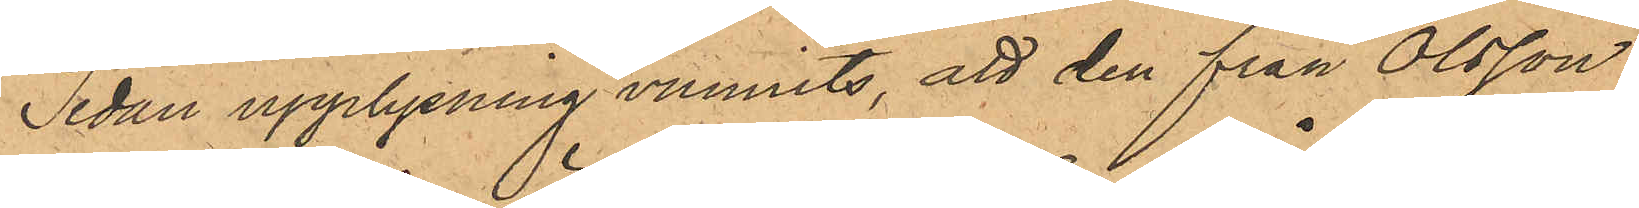Sedan upplysning vunnits, att den från Olsson
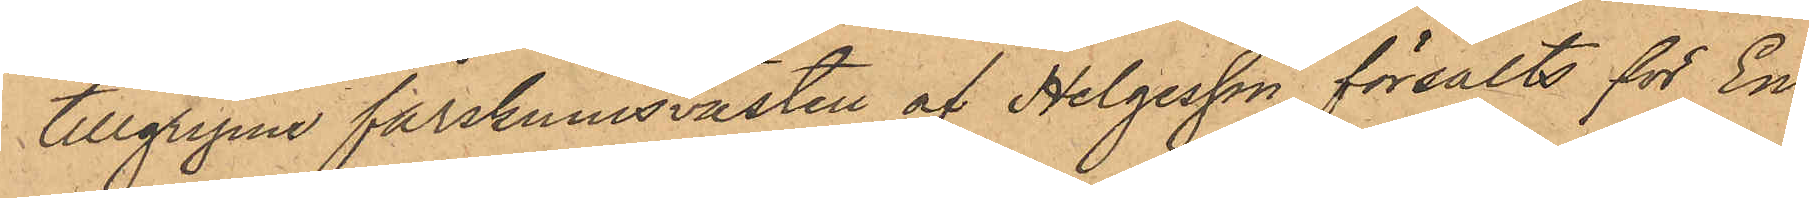tillgripne fårskinnsvästen af Helgesson försålts för En
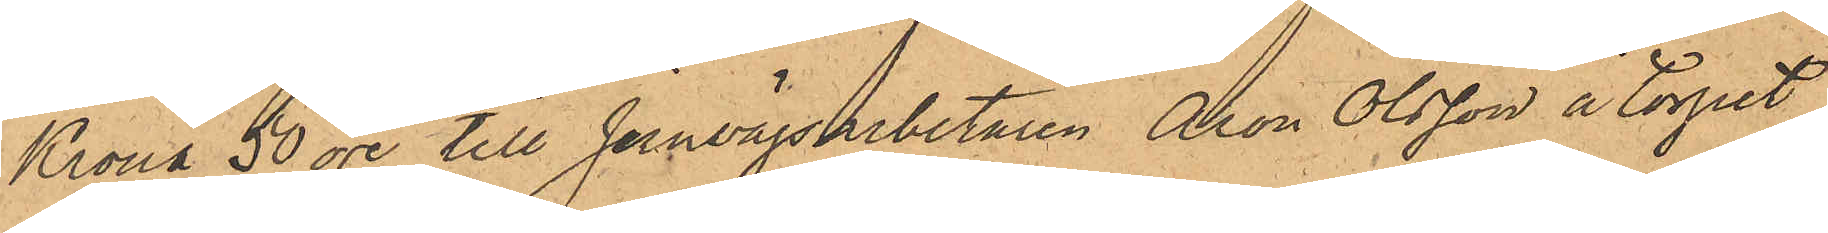Krona 50 öre till Jernvägsarbetaren Aron Olsson å torpet
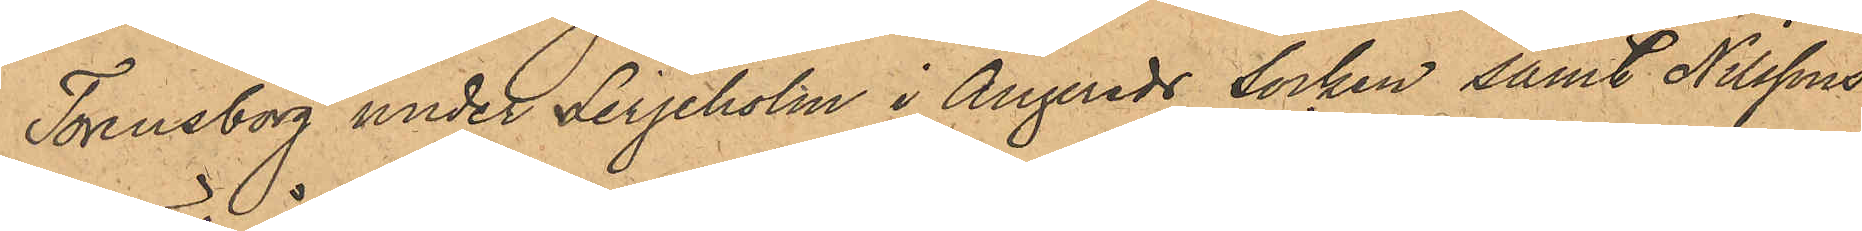Torensborg under Lerjeholm i Angereds Socken samt Nilssons
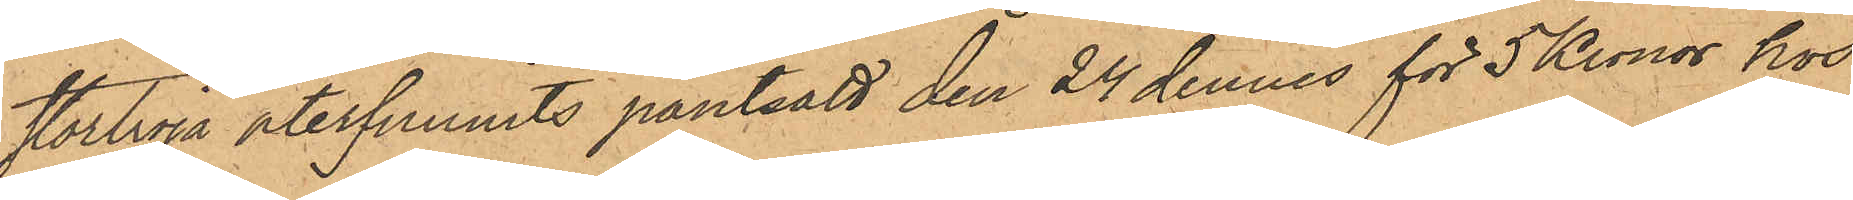stortröja återfunnits pantsatt den 24 dennes för 5 Kronor hos
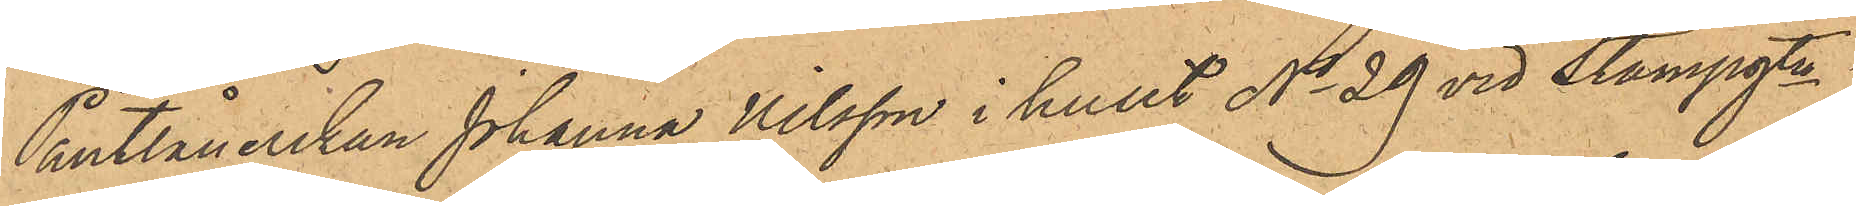Pantlånerskan Johanna Nilsson i huset No 29 vid Stampgtn
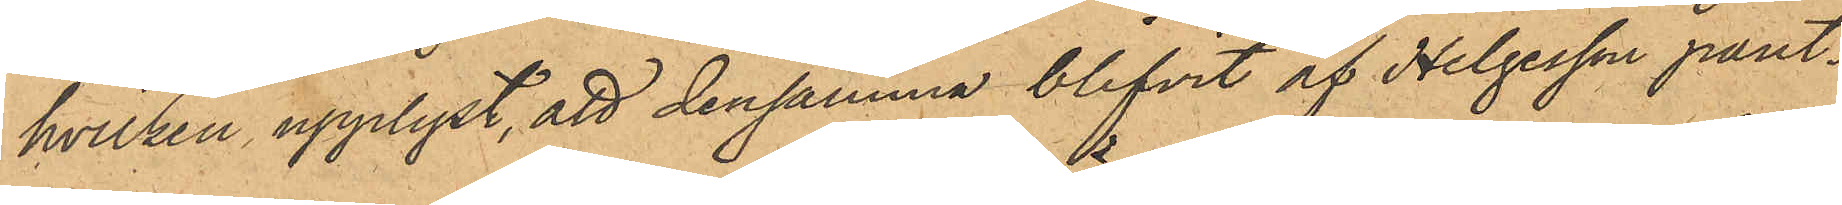hvilken upplyst, att densamma blifvit af Helgesson pant¬
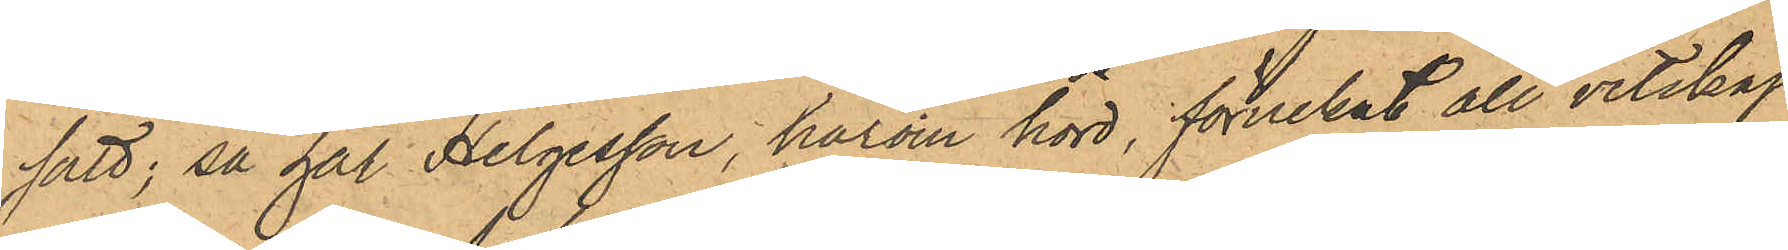satt; så har Helgesson, härom hörd, förnekat all vetskap
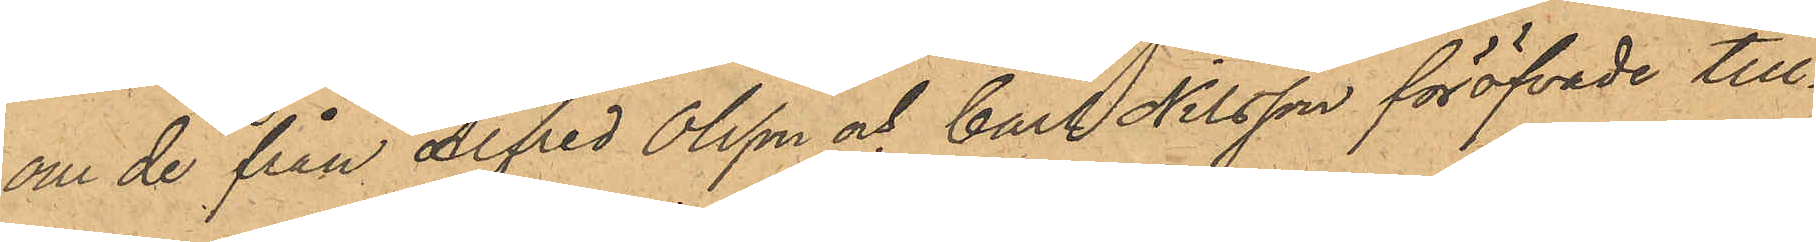om de från Alfred Olsson och Carl Nilsson föröfvade till¬
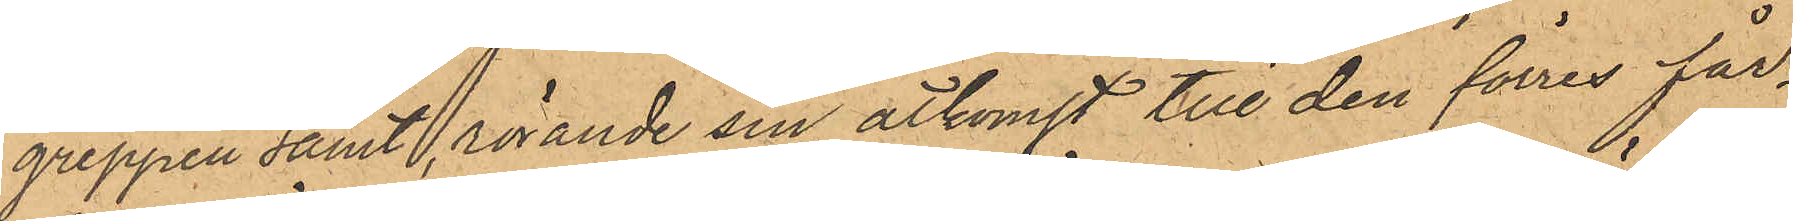greppen samt, rörande sin åtkomst till den förres får¬
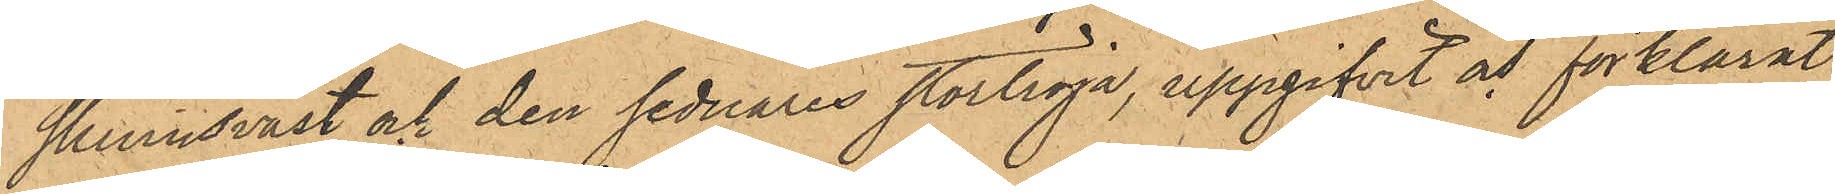skinnsväst och den sednares stortröja, uppgifvit och förklarat:
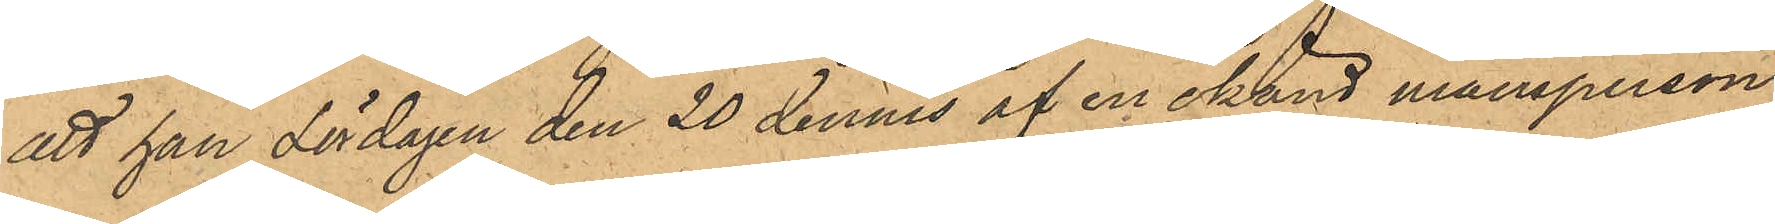att han Lördagen den 20 dennes af en okänd mansperson,
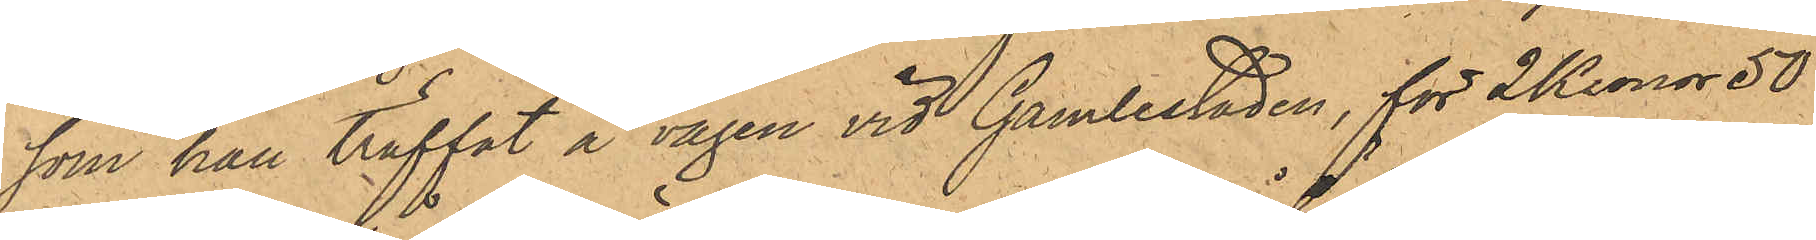som han träffat å vägen vid Gamlestaden, för 2 Kronor 50
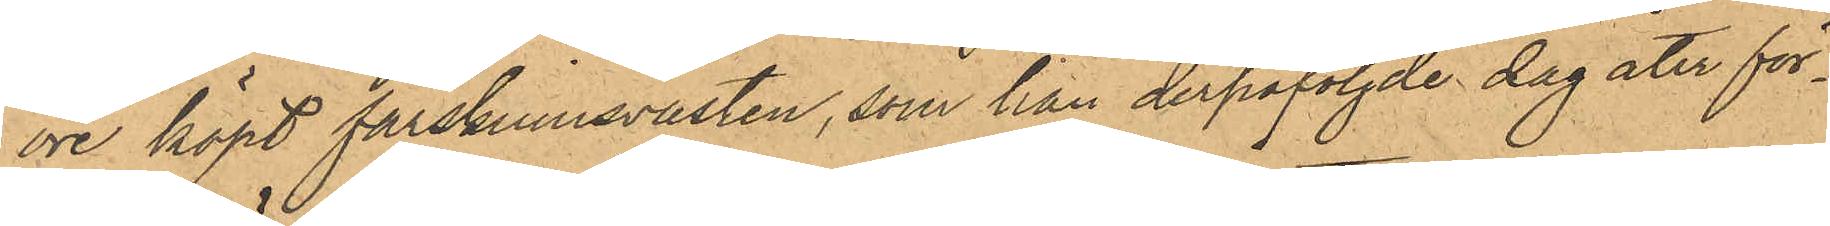öre köpt fårskinnsvästen, som han derpåföljde dag åter för¬
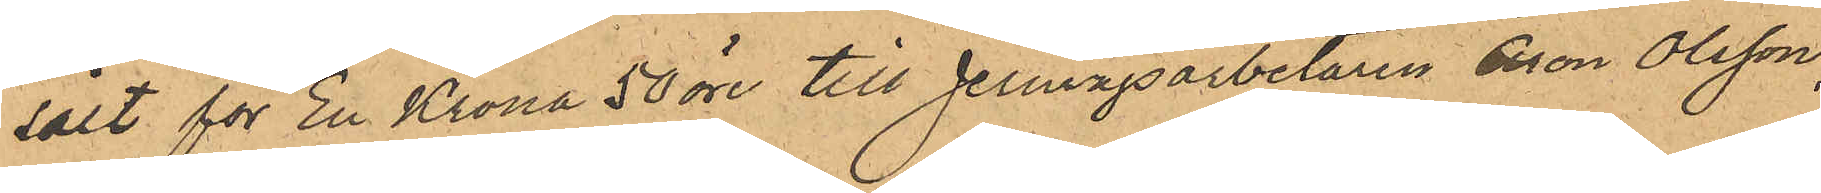sålt för En Krona 50 öre till Jernvägsarbetaren Aron Olsson;
